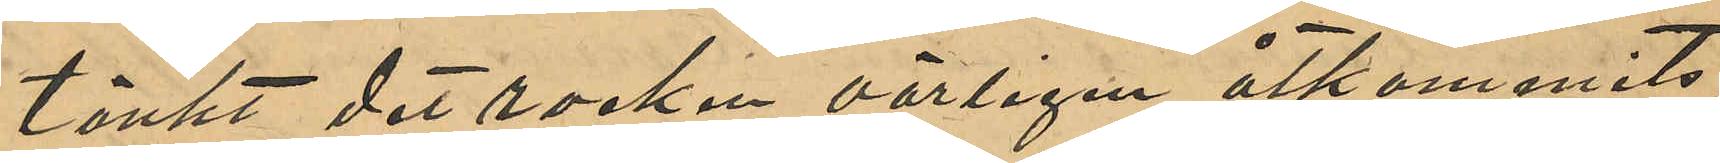tänkt det rocken oärlige åtkommits
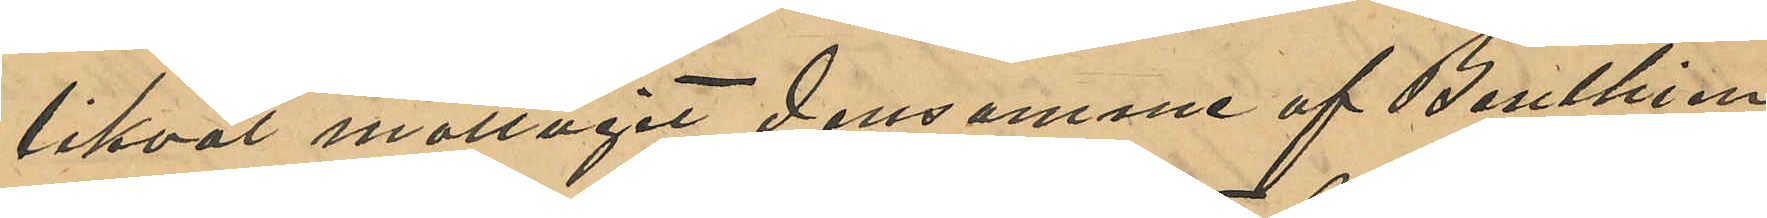likväl mottagit densamme af Benthien;
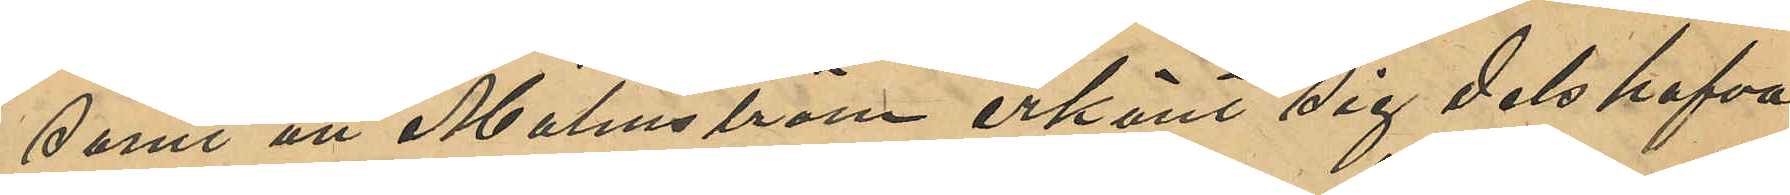samt att Malmström erkänt sig dels hafva
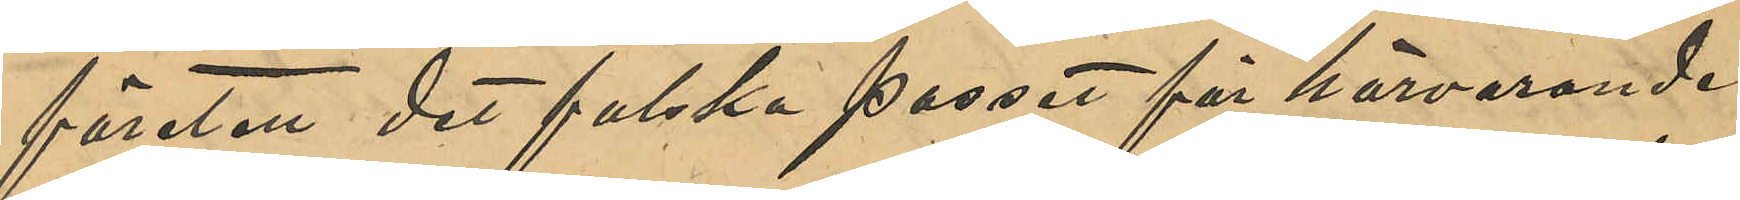förutom det falska passet för härvarande
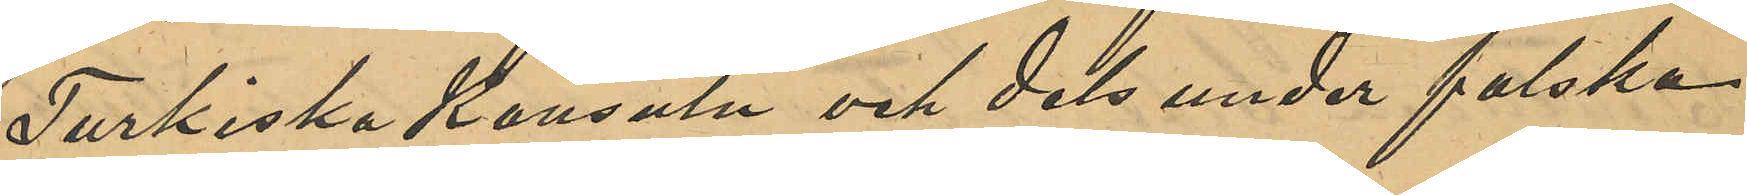Turkiska Konsuln och dels under falska
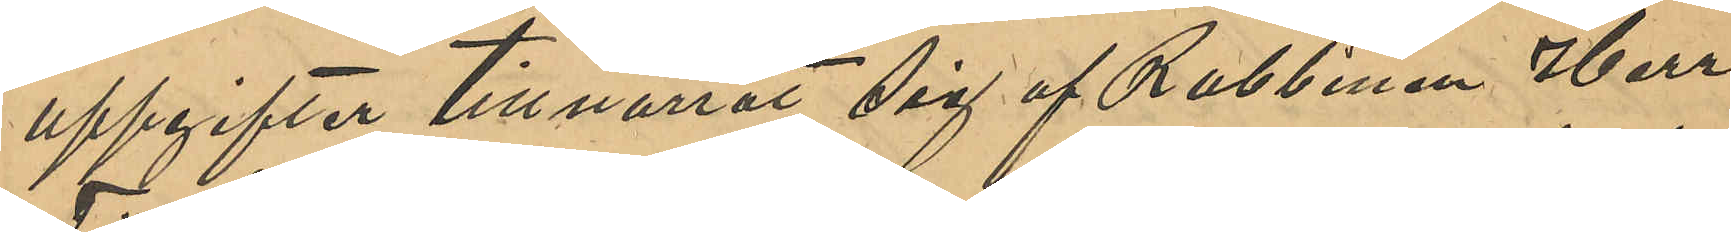uppgifter tillnarrat sig af Rabbinen Herr
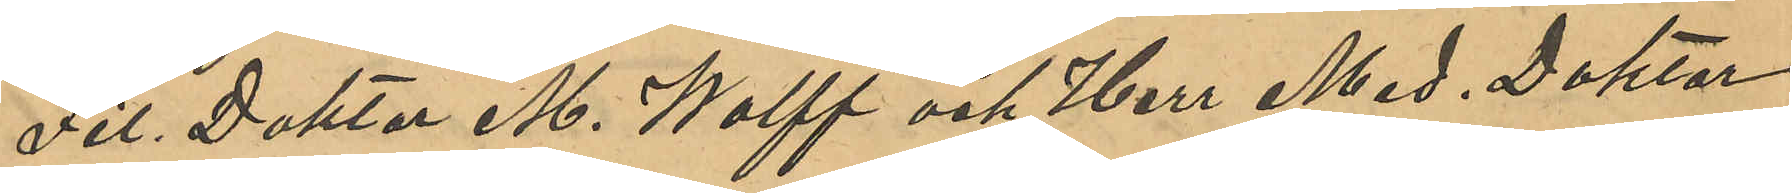Fil. Doktor M. Wolff och Herr Med. Doktor
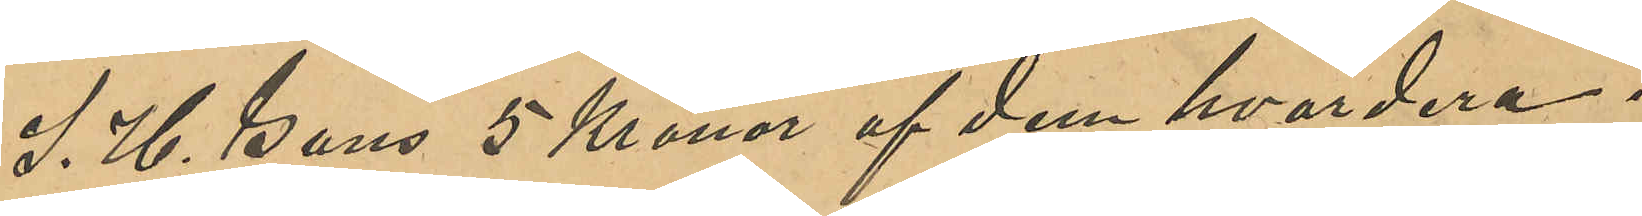S. H Gans 5 Kronor af dem hvardera.
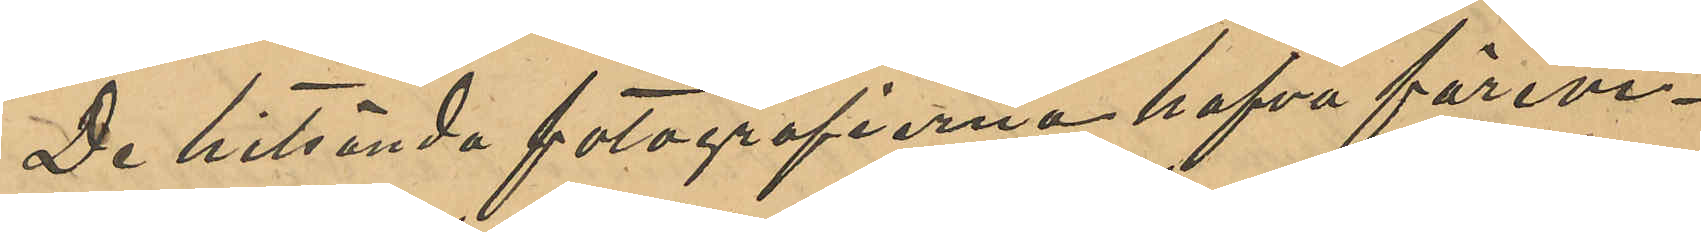De hitsända fotografierna hafva förevi¬
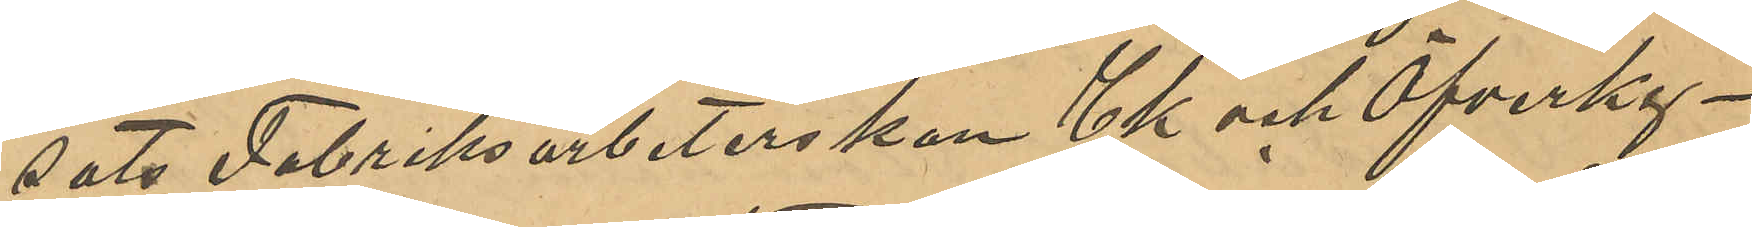sats Fabriksarbeterskan Ek och Öfverky¬
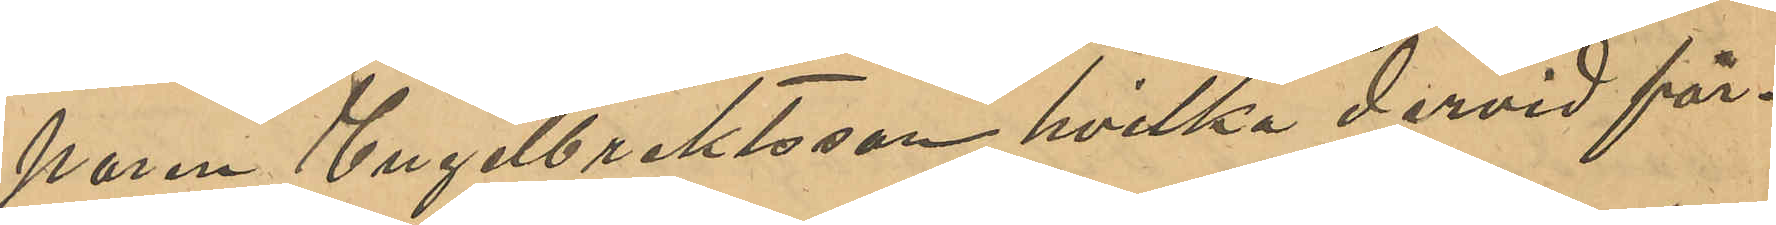paren Engelbrektsson, hvilka dervid för¬
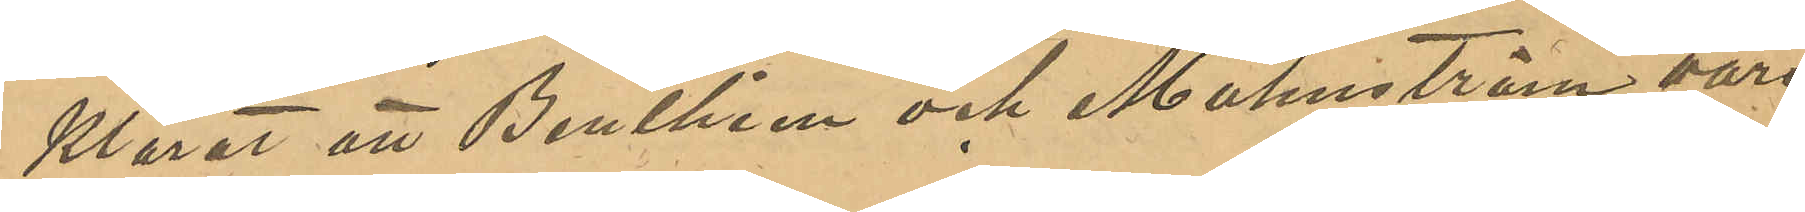klarat att Benthien och Malmström vore
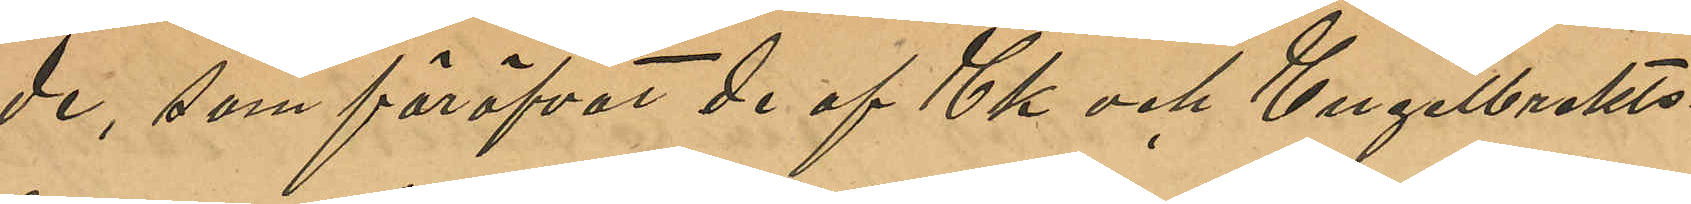de, som föröfvat de af Ek och Engelbrekts¬
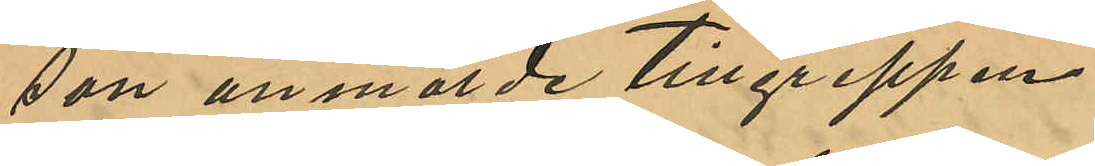son anmälde tillgreppen.
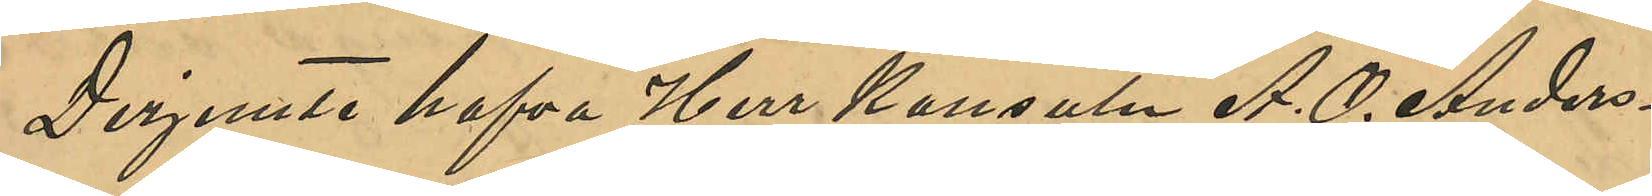Derjemte hafva Herr Konsuln A. O. Anders¬
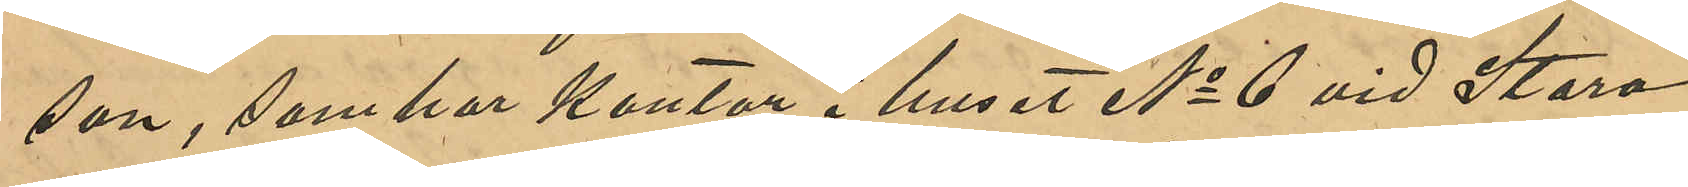son, som har kontor i huset No 6 vid Stora
